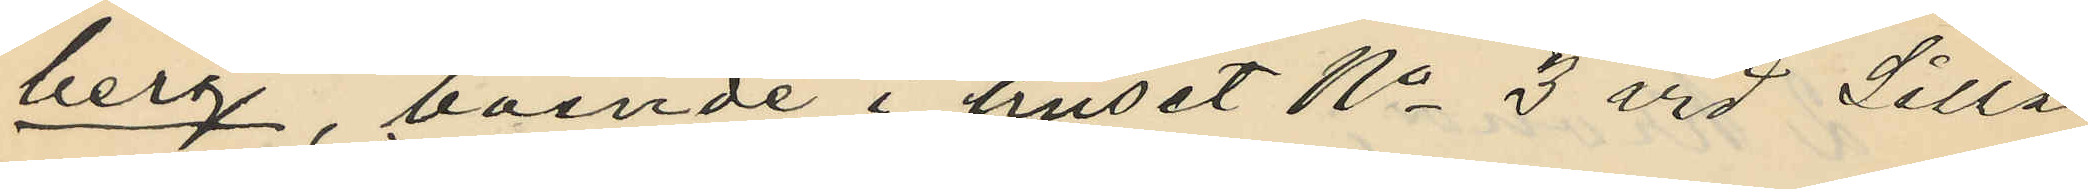berg, boende i huset No 3 vid Lilla
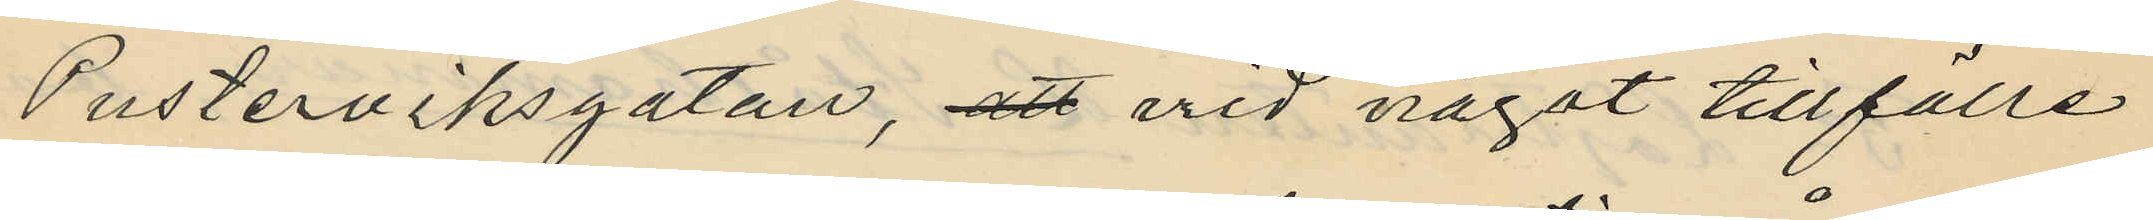Pusterviksgatan, att vid något tillfälle
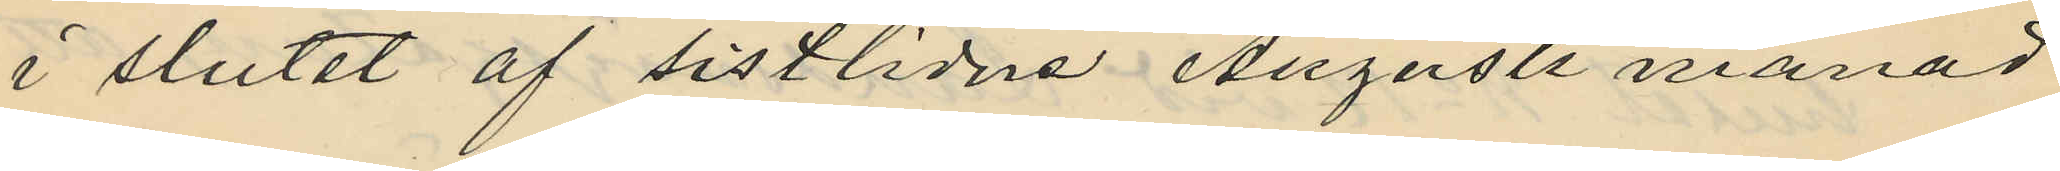i slutet af sistlidne Augusti månad
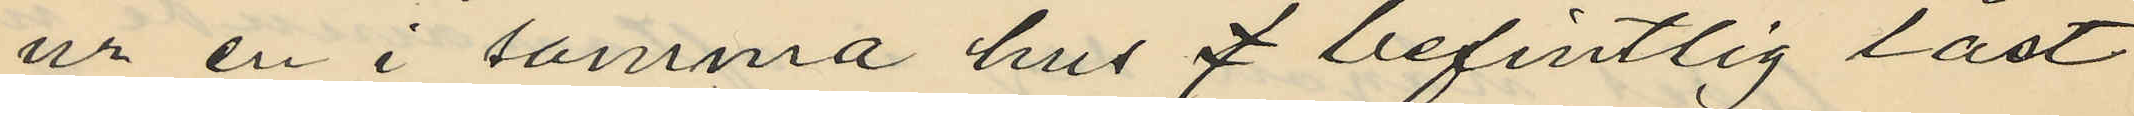ur en i samma hus 7 befintlig låst
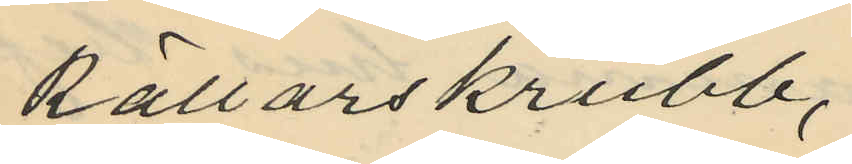källarskrubb,
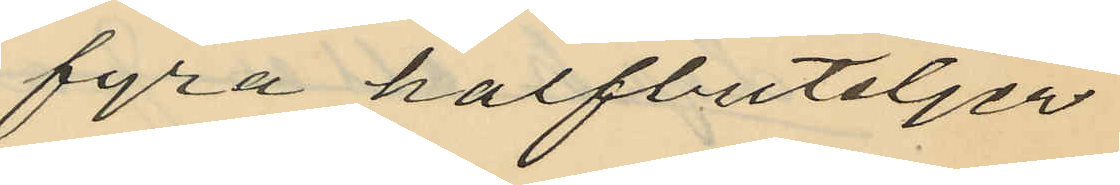fyra halfbuteljer
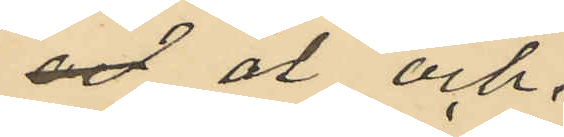och öl och
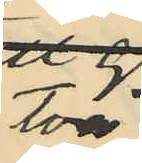två
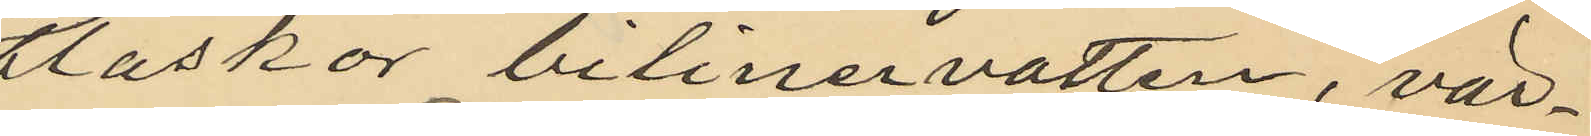flaskor bilinervatten, vär¬
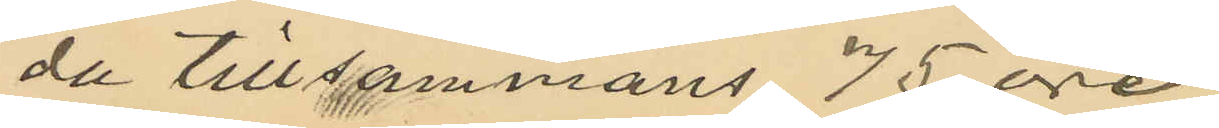de tillsammans 75 öre;
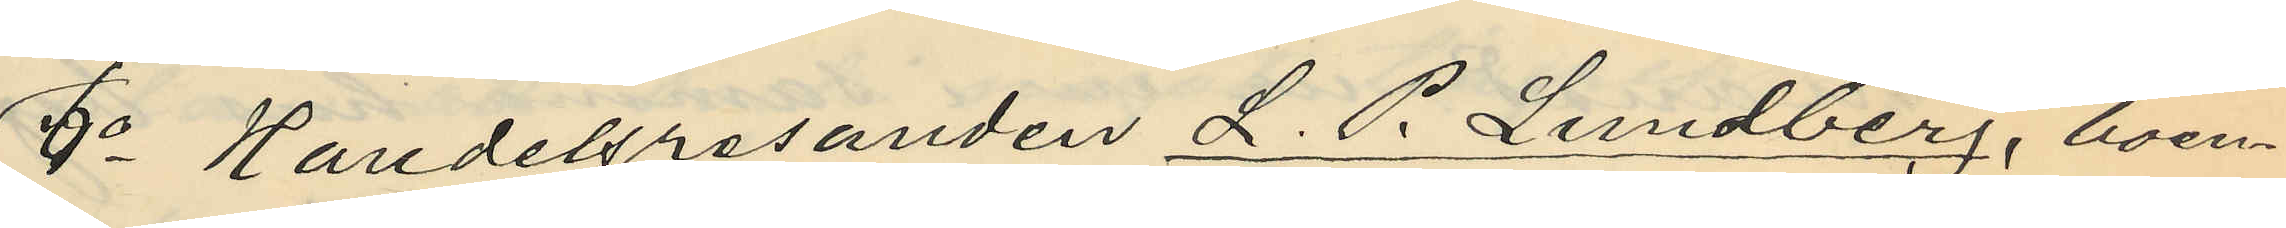6o Handelsresanden L. P. Lundberg, boen¬
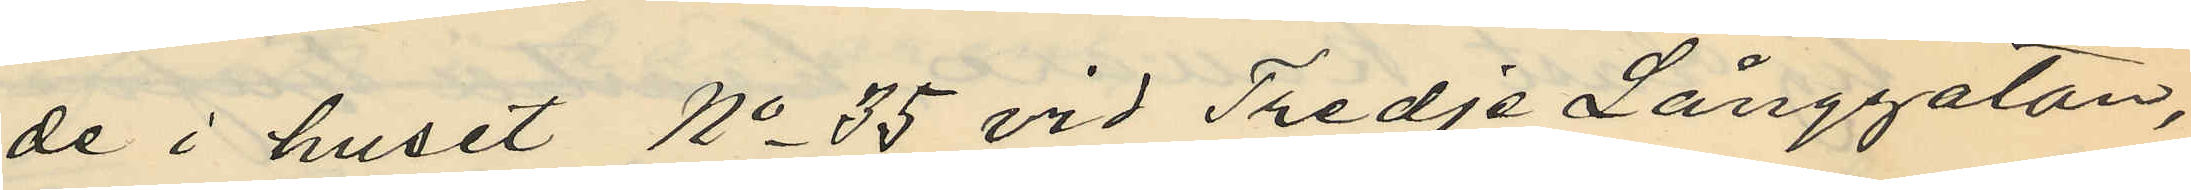de i huset No 35 vid Tredje Långgatan,
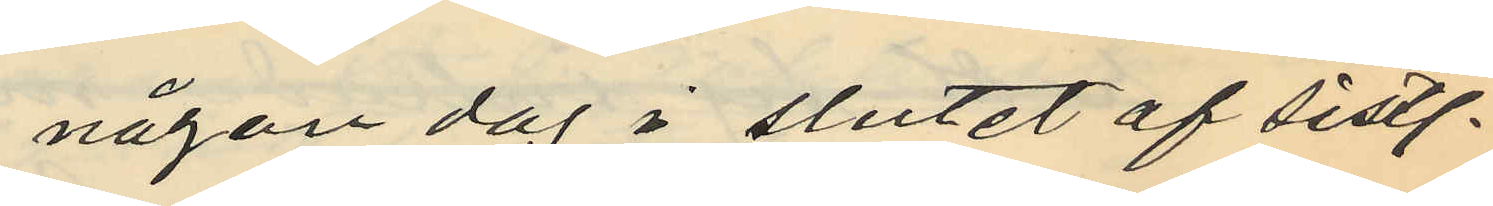någon dag i slutet af sistl.
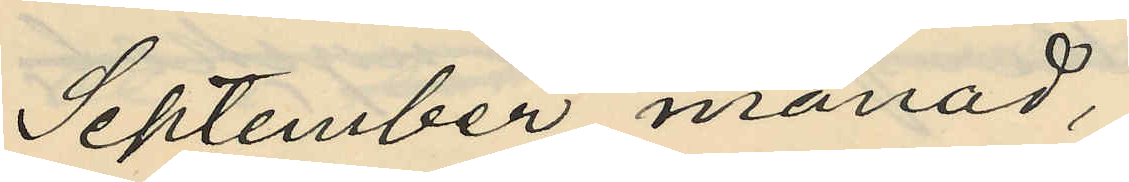September månad,
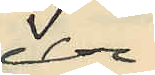ur
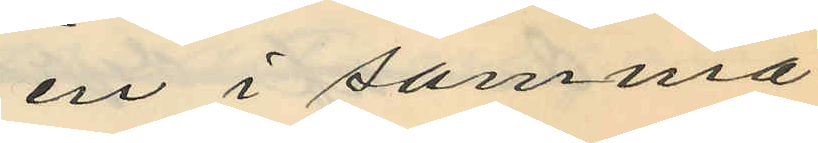en i samma
